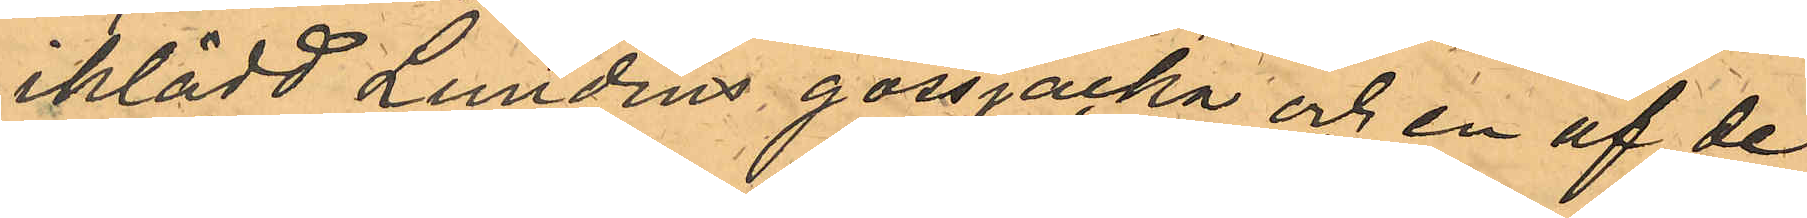iklädd Lundins gossjacka och en af de
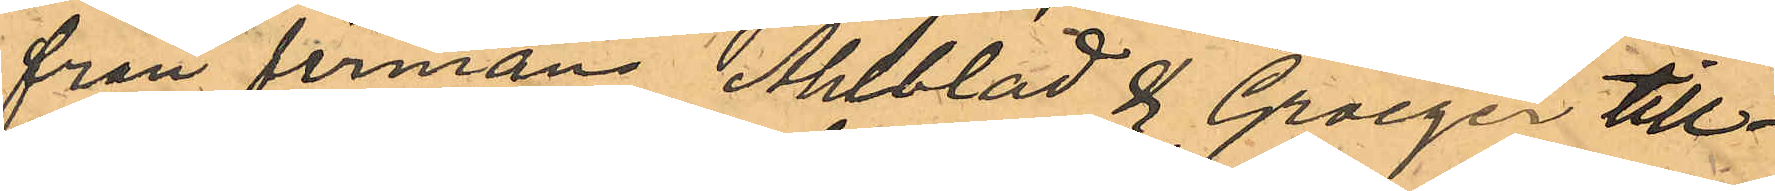från firman Ahlblad & Groeger till¬
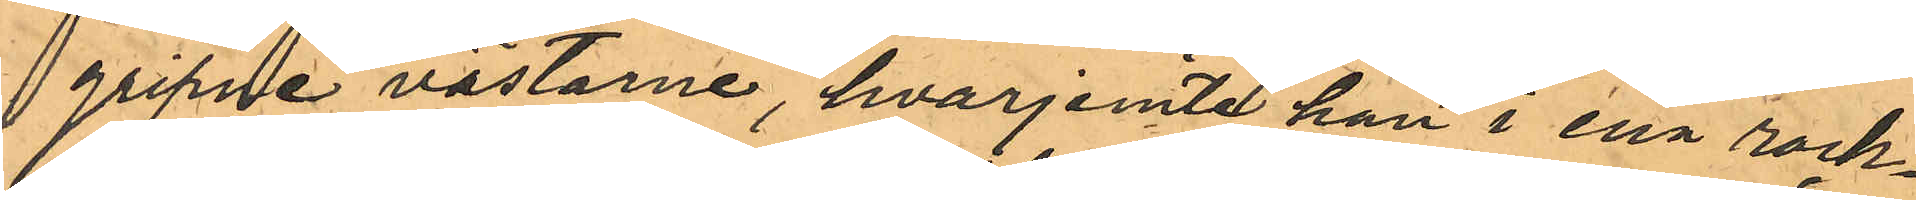gripne västarne, hvarjemte han i ena rock¬
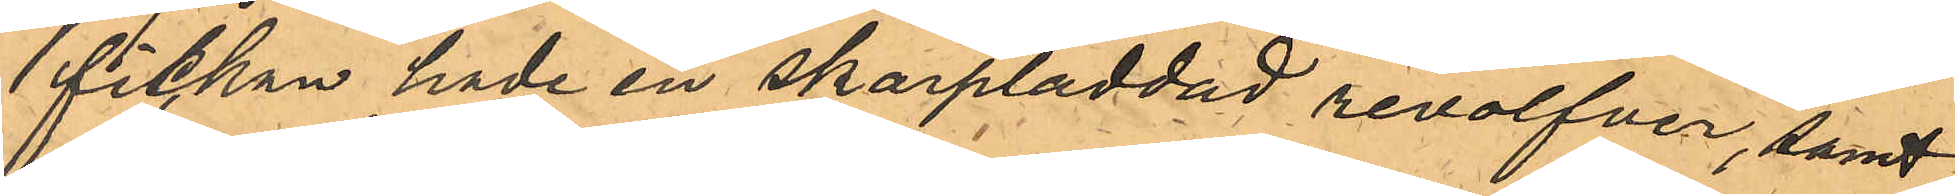fickan hade en skarpladdad revolfver, samt
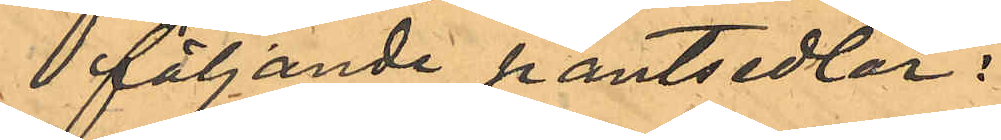följande pantsedlar:
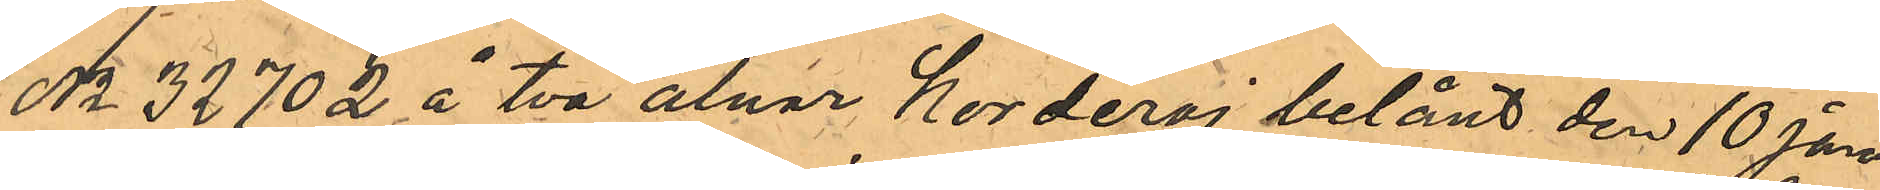No 32702 å två alnar Korderoj belånt den 10 Ja¬
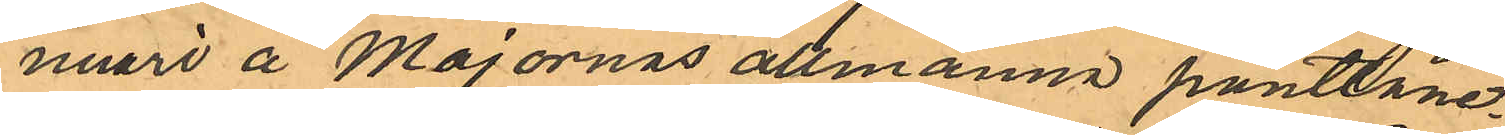nuari å Majornas allmänna pantlåne¬
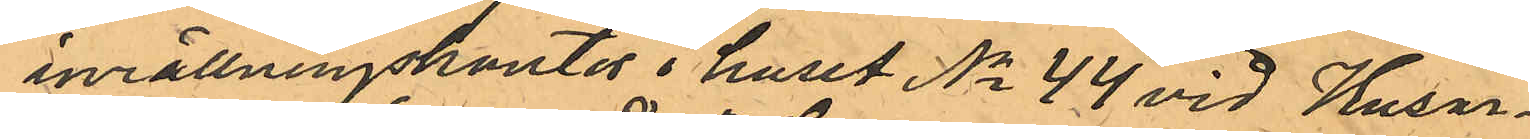inrättningskontor i huset No 44 vid Husar¬
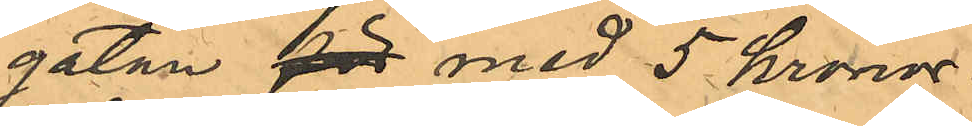gatan för med 5 kronor.
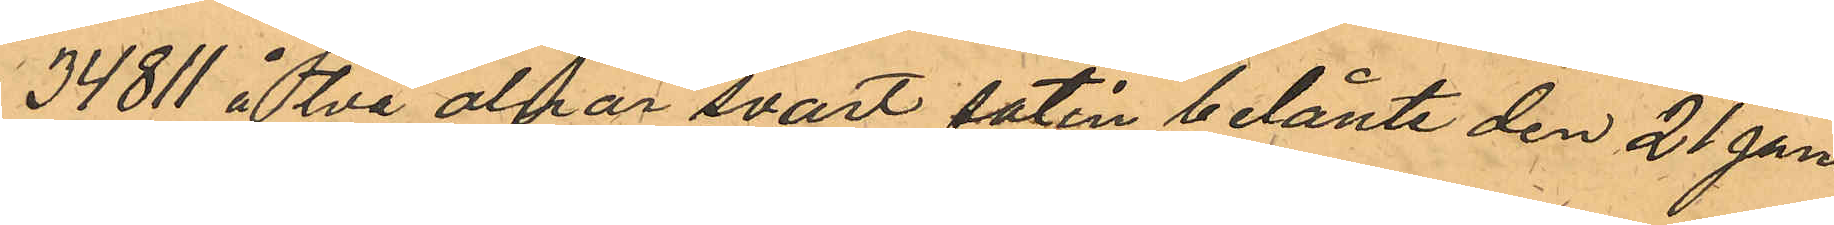34811 å två alnar svart satin belånte de 21 Jan.
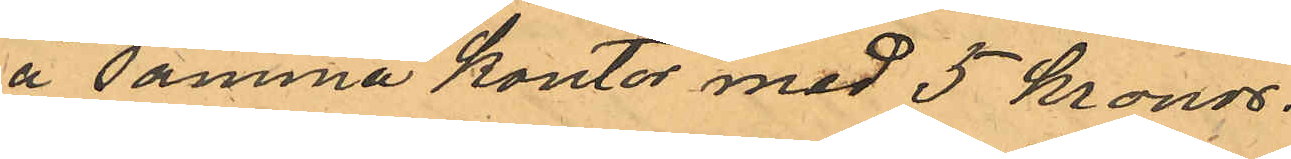å samma Kontor med 5 kronor.
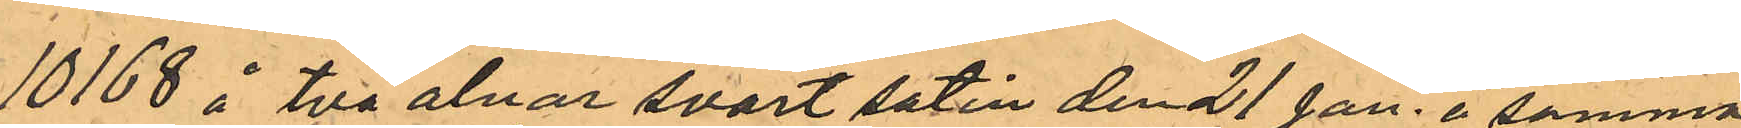10168 å två alnar svart satin den 21 Jan. å samma
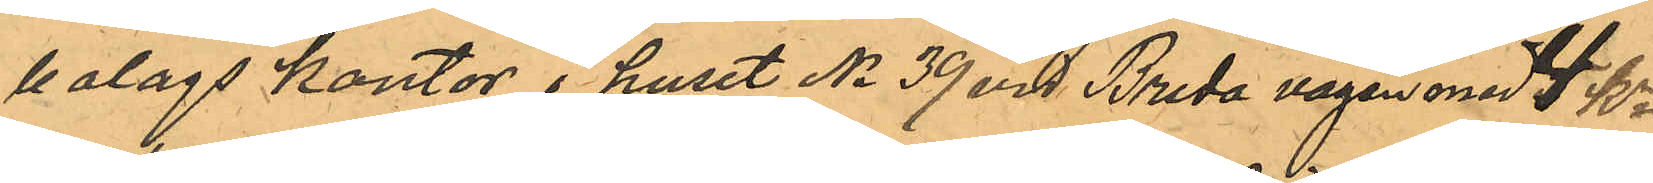bolags Kontor i huset No 39 vid Breda vägen med 4 kr.
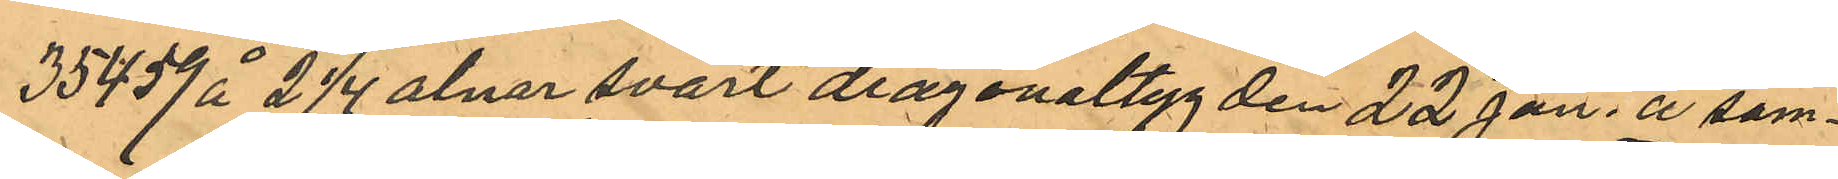35459 å 2 1/4 alnar svart diagonaltyg den 22 Jan. å sam¬
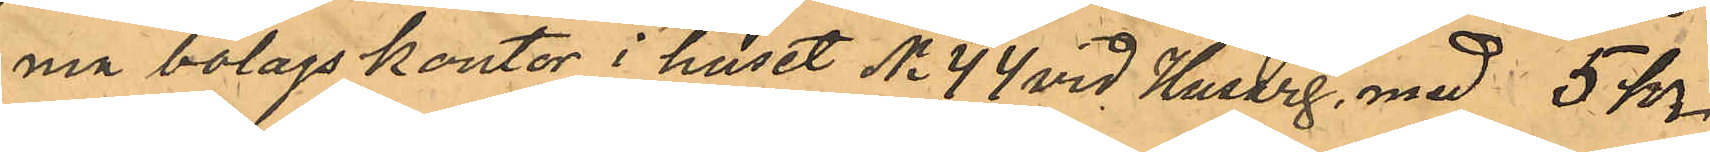ma bolagskontor i huset No 44 vid Husarg. med 5 kr.
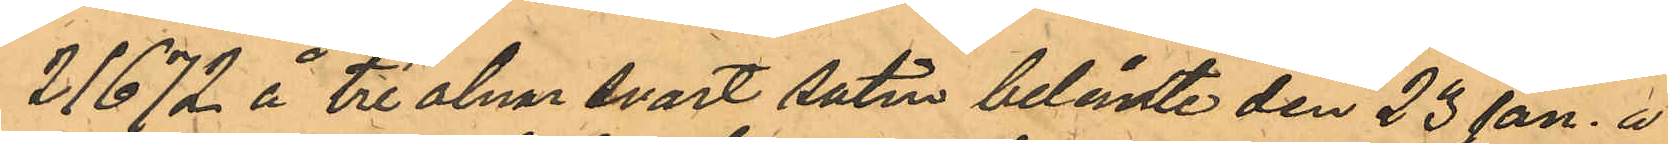21672 å tre alnar svart satin belånte den 23 Jan. å
